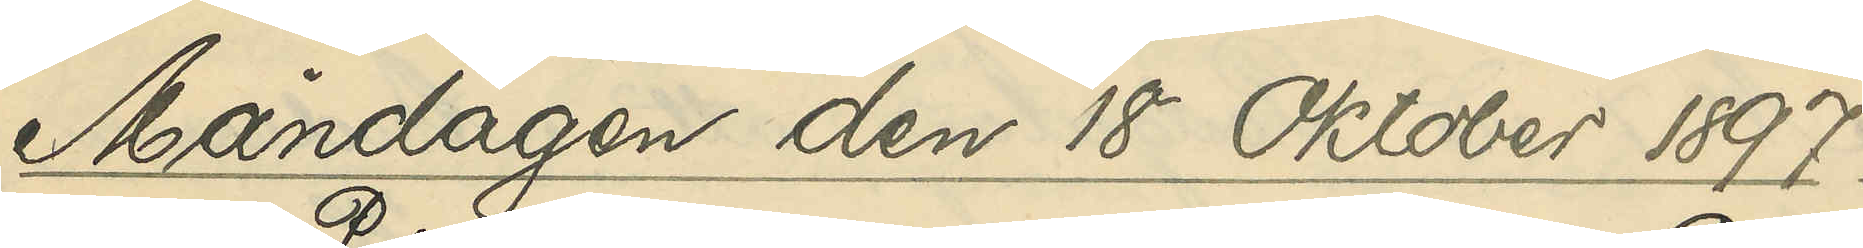Måndagen den 18 Oktober 1897.
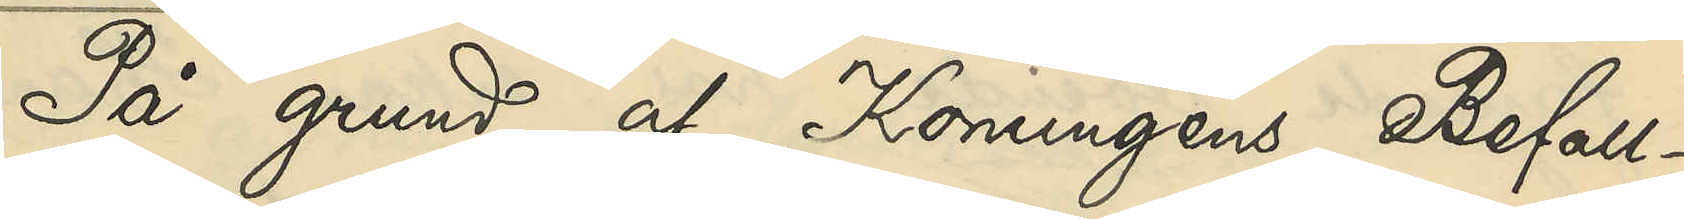På grund af Konungens Befall¬
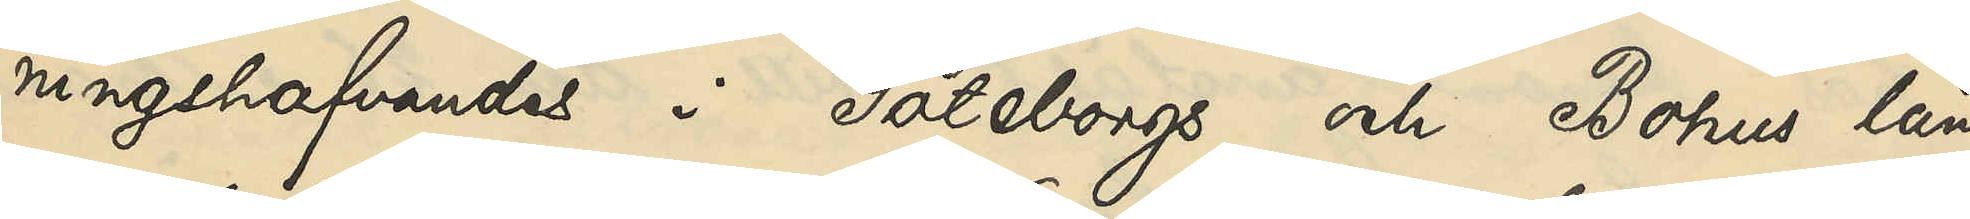ningshafvandes i Göteborgs och Bohus län
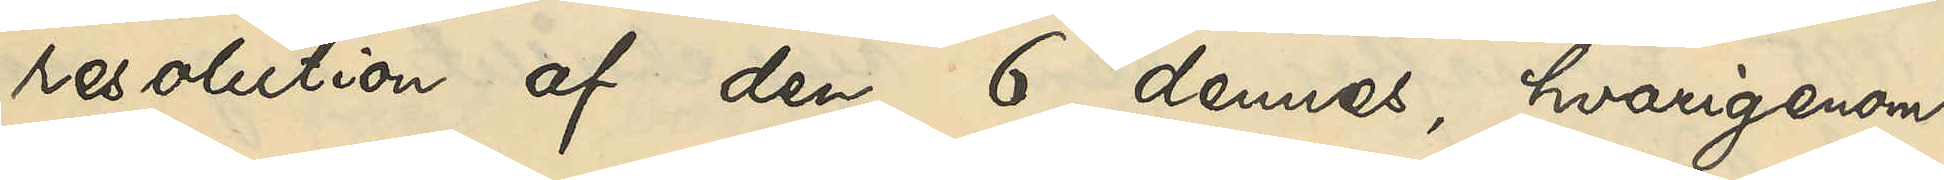resolution af den 6 dennes, hvarigenom
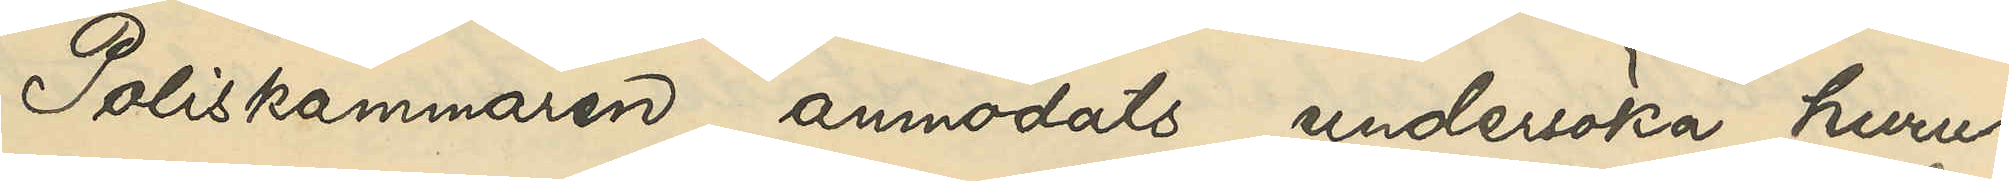Poliskammaren anmodats undersöka, huru¬
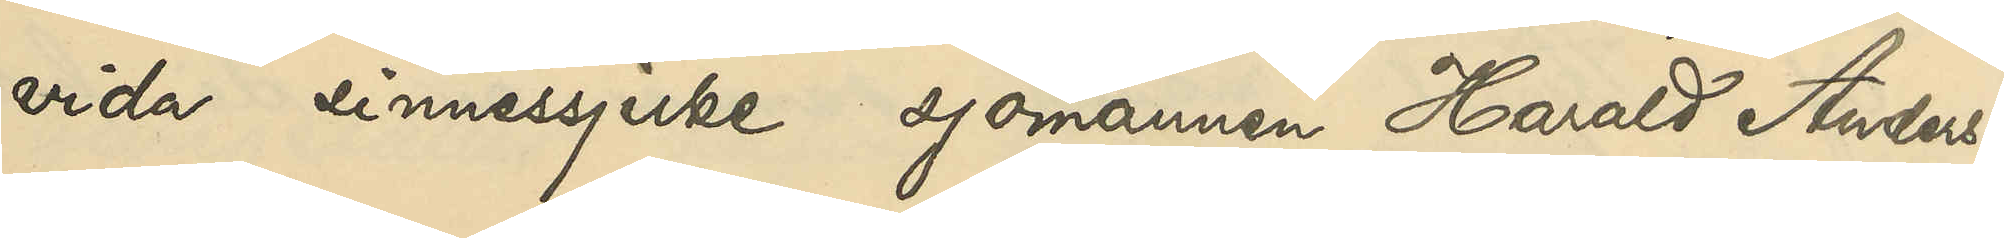vida sinnessjuke sjömannen Harald Anders¬
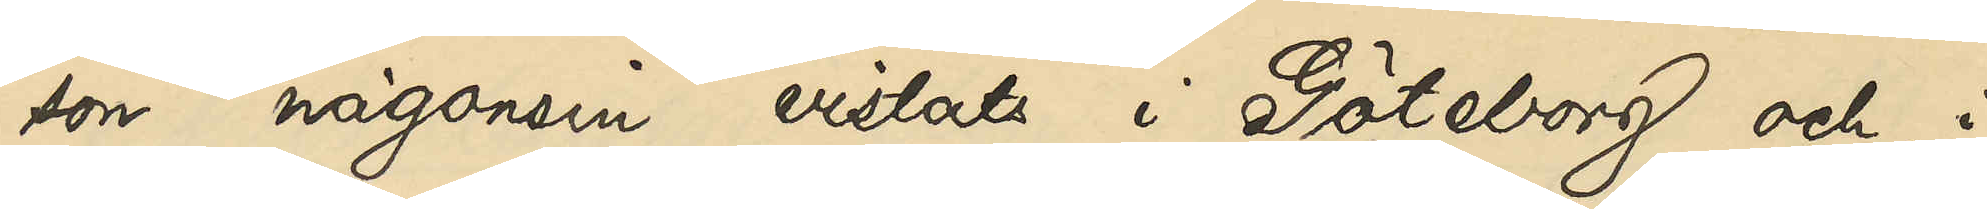son någonsin vistats i Göteborg och, i
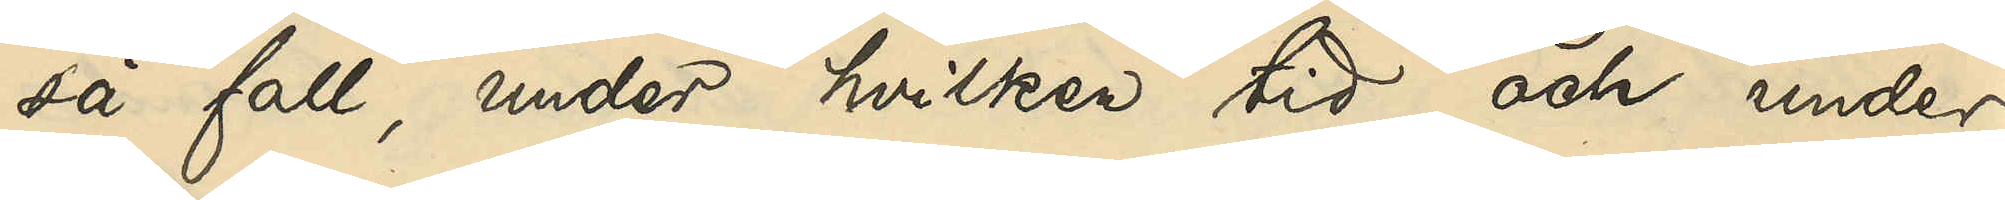så fall, under hvilken tid och under
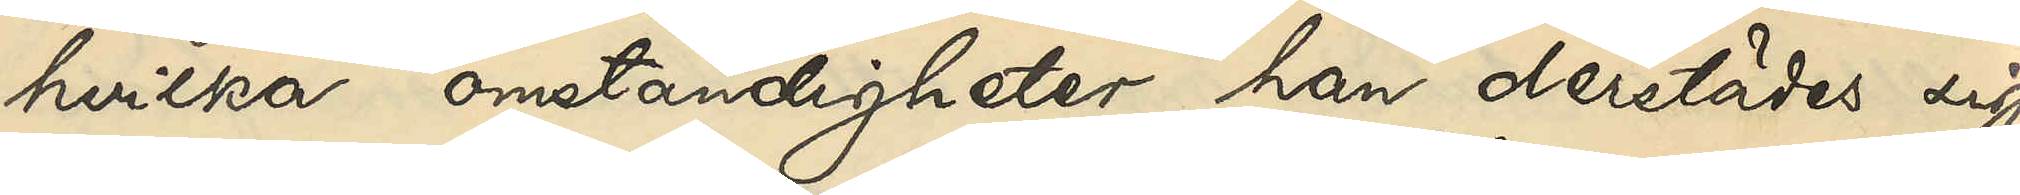hvilka omständigheter han derstädes sig
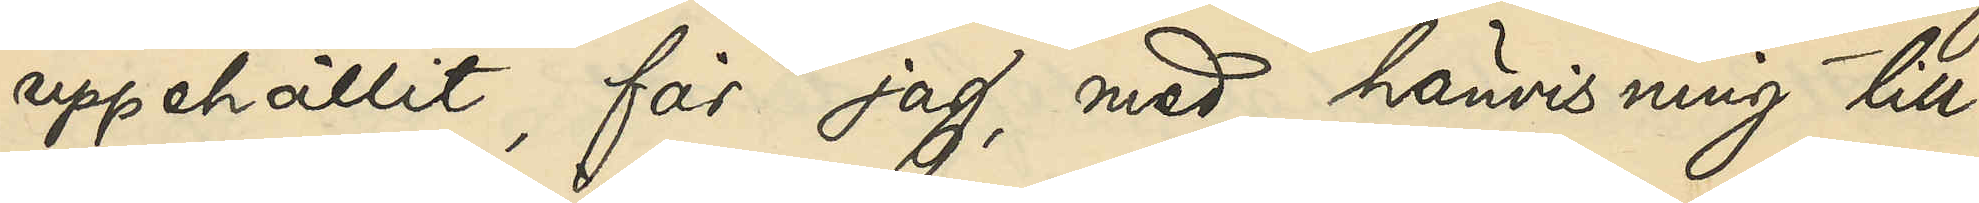uppehållit, får jag, med hänvisning till
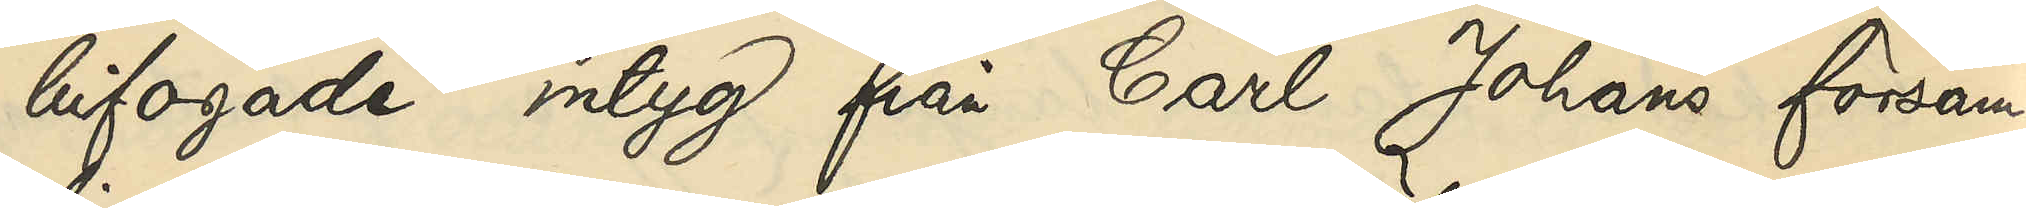bifogade intyg från Carl Johans försam¬
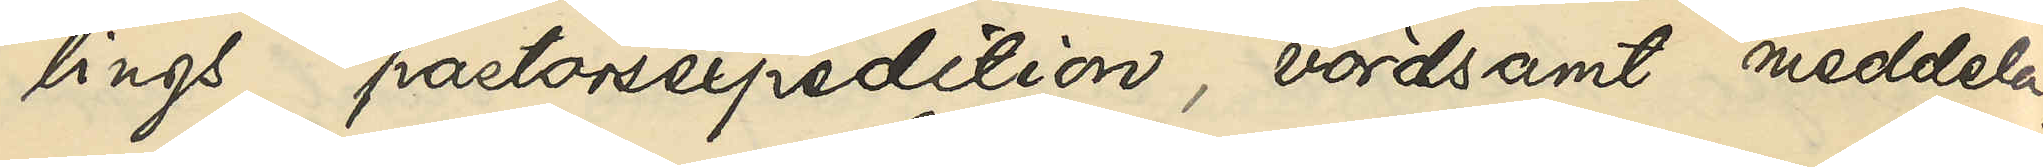lings pastorsexpedition, vördsamt meddela,
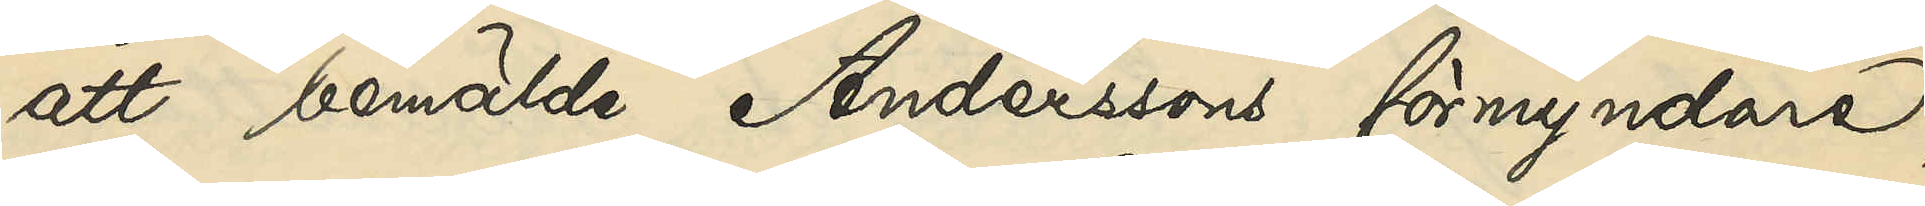att bemälde Anderssons förmyndare,
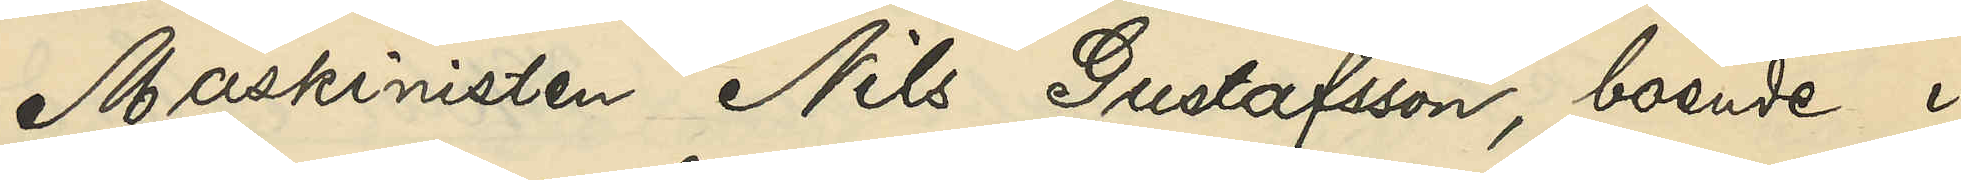Maskinisten Nils Gustafsson, boende i
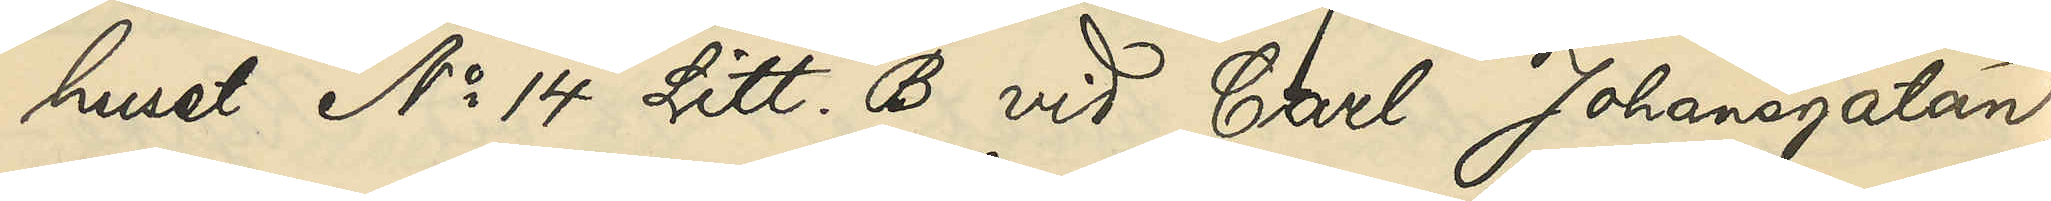huset No 14 Litt. B vid Carl Johansgatan,
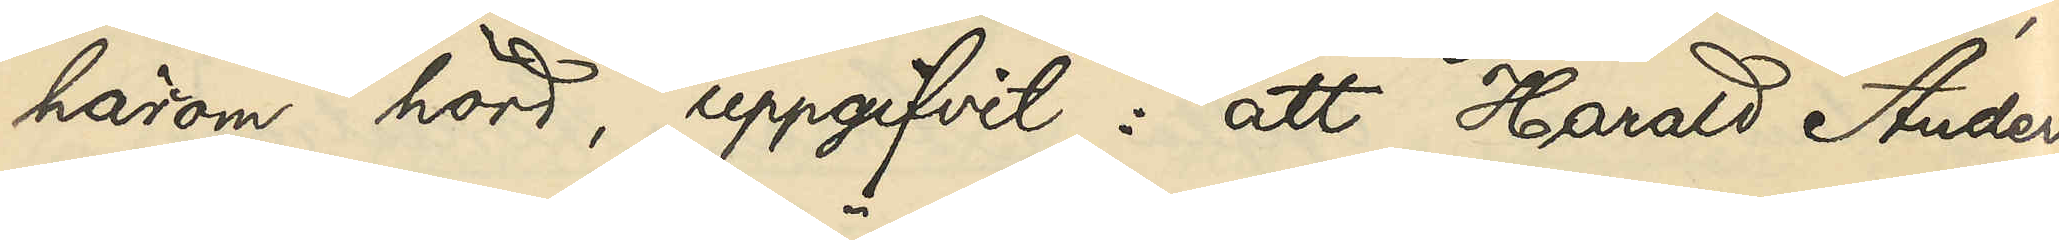härom hörd, uppgifvit: att Harald Anders¬
